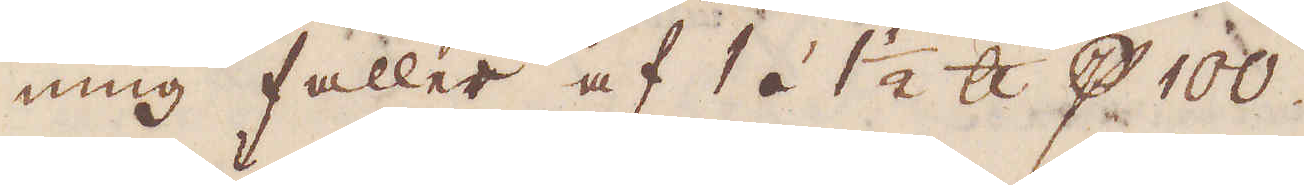ning faller af 1 á 1 1/2 skålpund p 100.
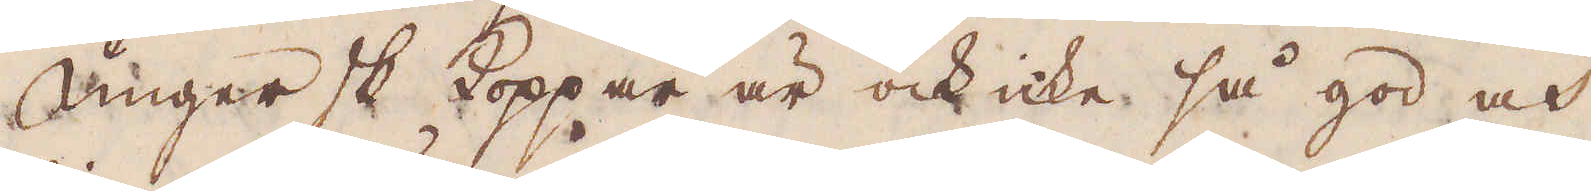Ungersk Koppar är ock icke så god och
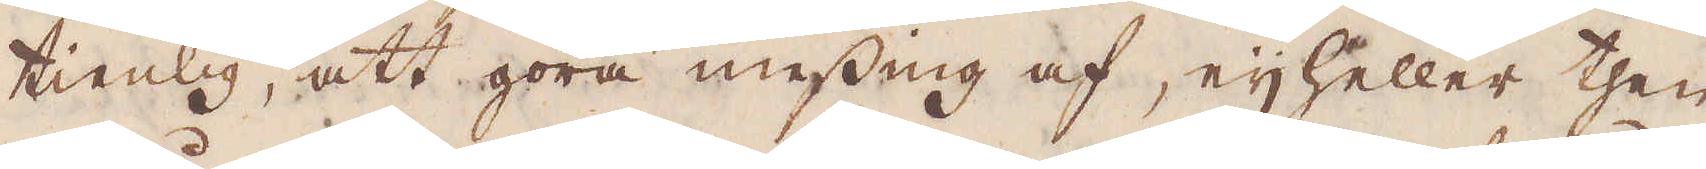tienlig, att göra messing af, eij heller then
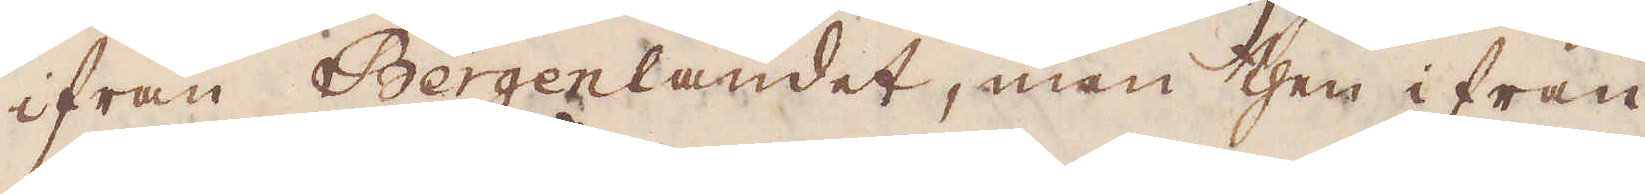ifrån Bergenlandet, men then ifrån
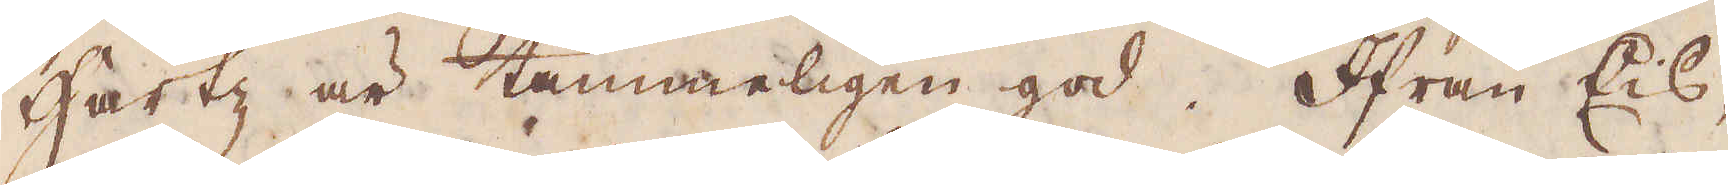Hartz är tämmeligen god. Ifrån Eis-
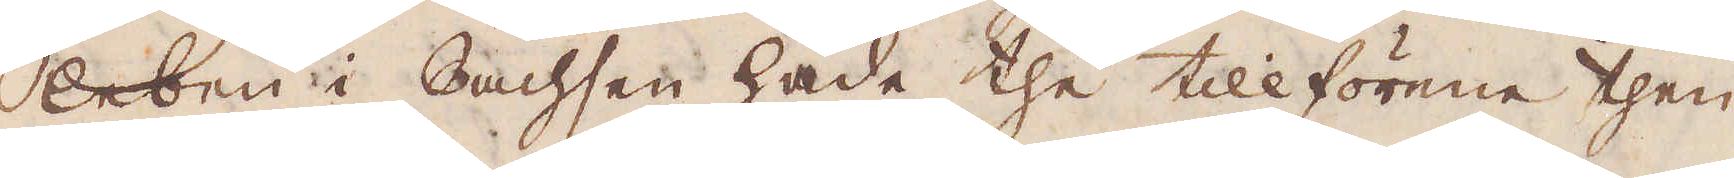leben i Sachsen hade the tillförene then
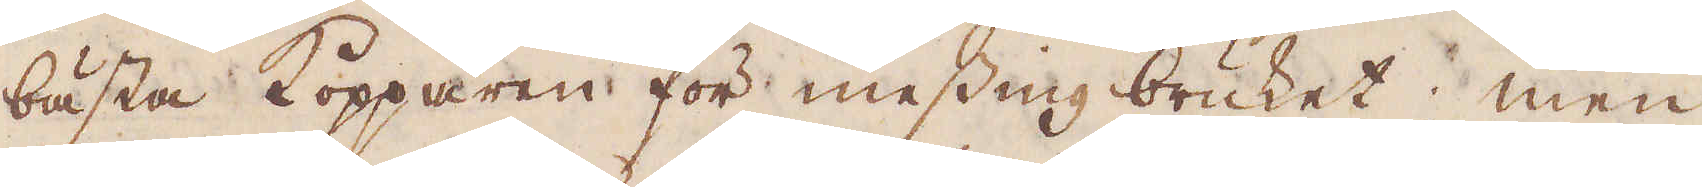bästa Kopparen för messing bruket; men
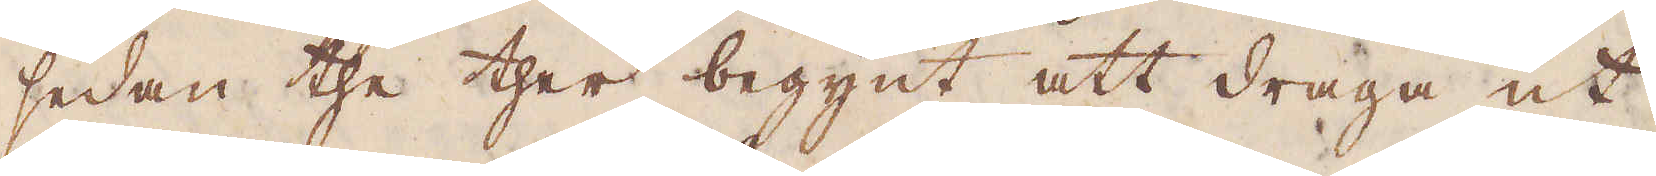sedan the ther begynt att draga ut
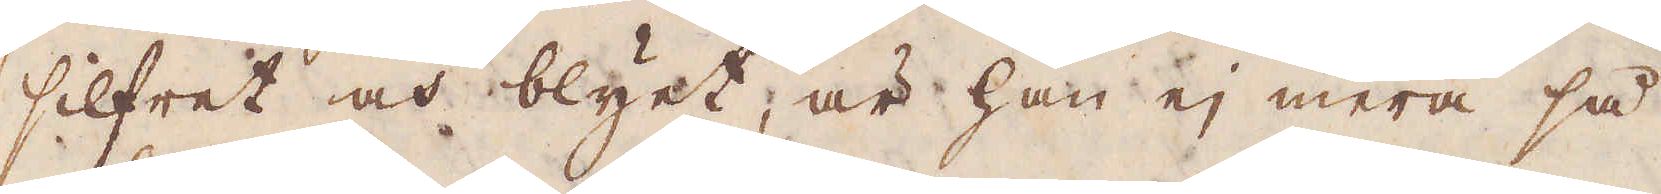silfret och blyet, är han ej mera så
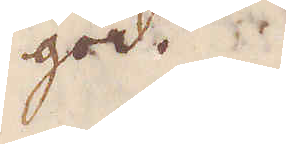god.
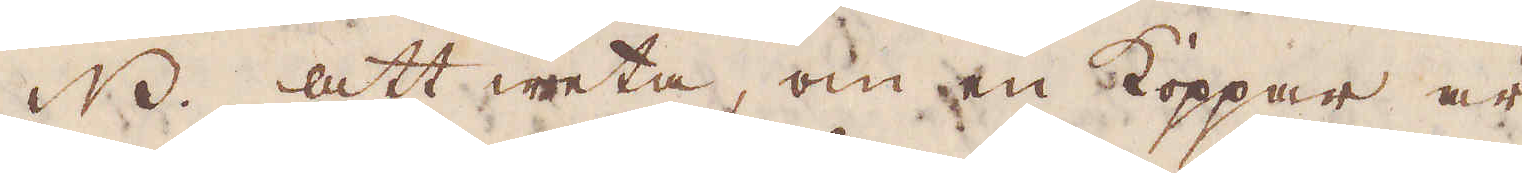NB. att weta, om en Koppar är
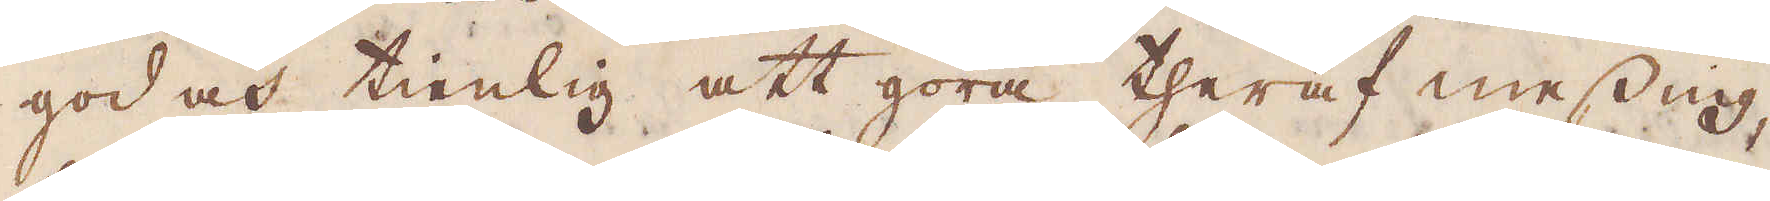god och tienlig att göra theraf messing,
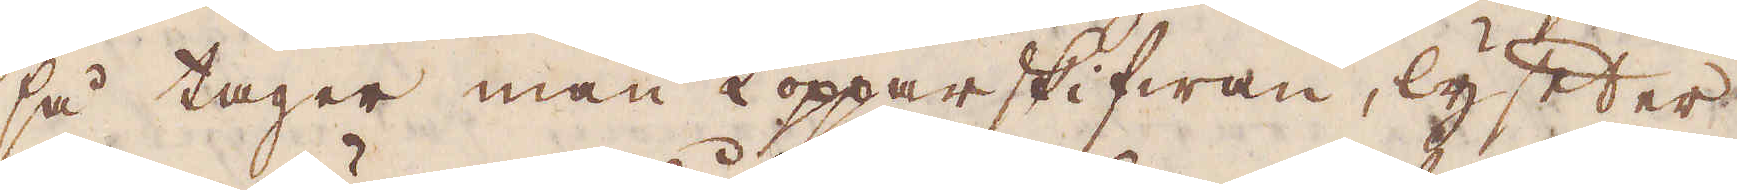så tager man Kopparskifwan, lyfter
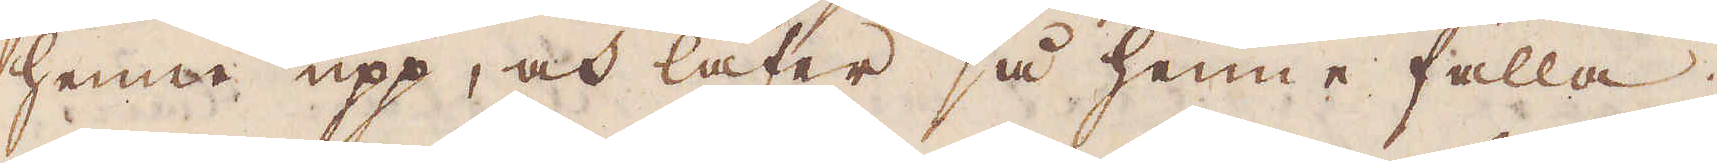henne upp, och låter så henne falla;
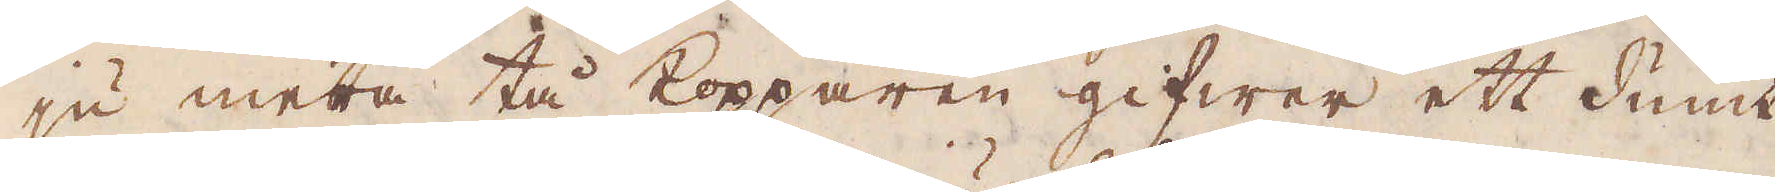ju mera tå kopparen gifwer ett dumt
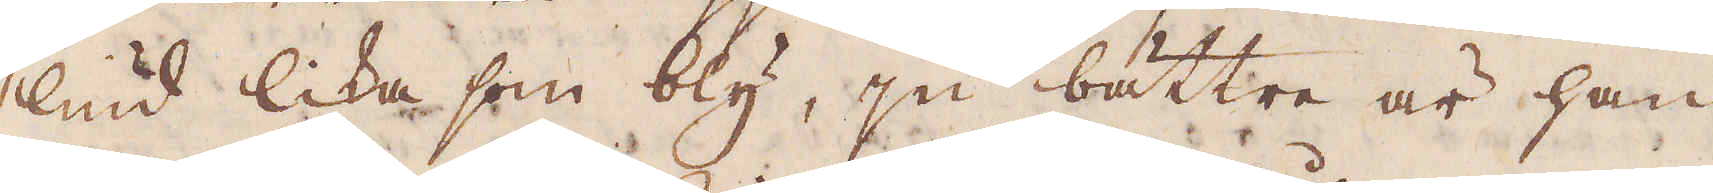liud lika som bly, ju bättre är han
